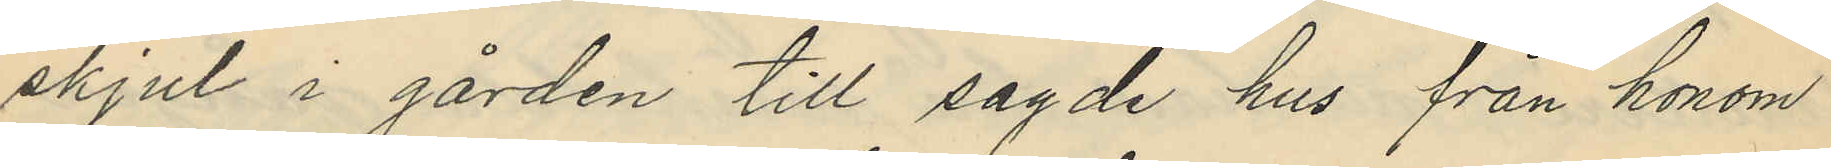skjul i gården till sagde hus från honom
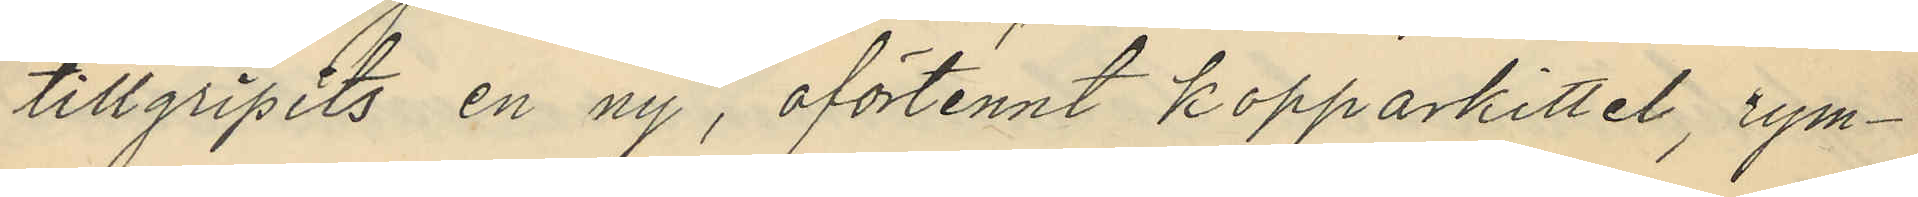tillgripits en ny, oförtennt kopparkittel, rym¬
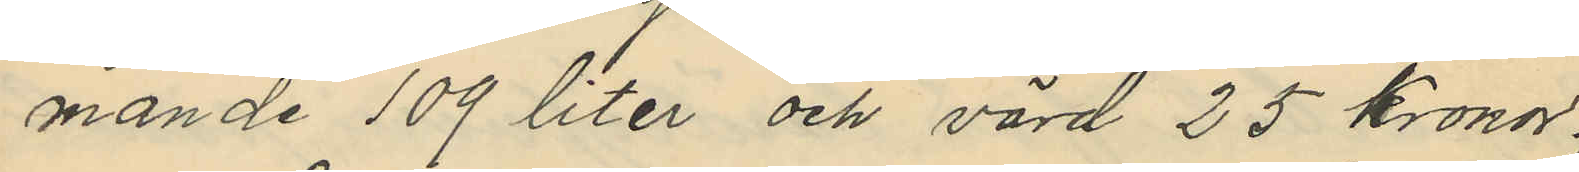mande 109 liter och värd 25 kronor.
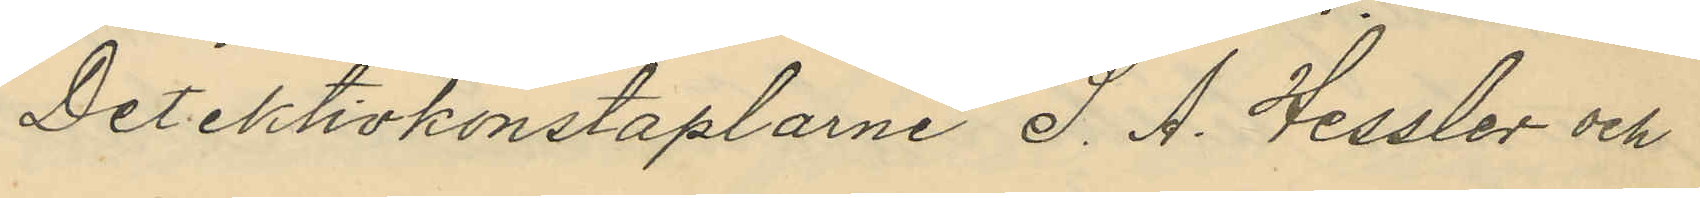Detektivkonstaplarne S. A. Hessler och
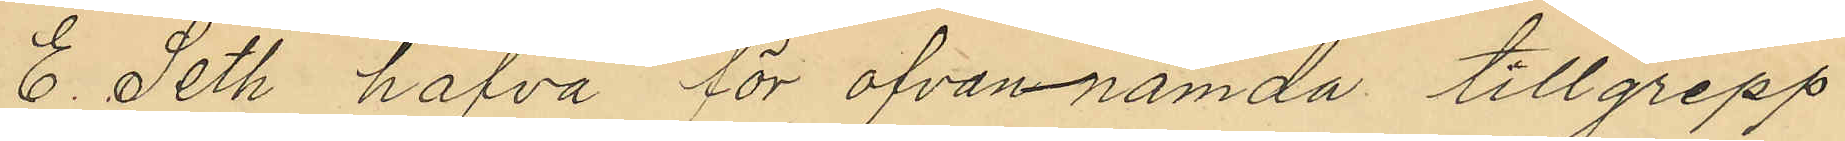E. Seth hafva för ofvannämda tillgrepp
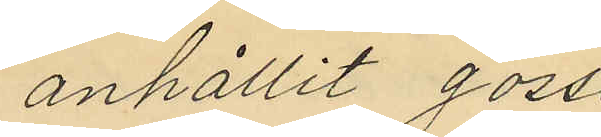anhållit goss¬
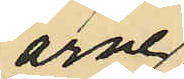arne
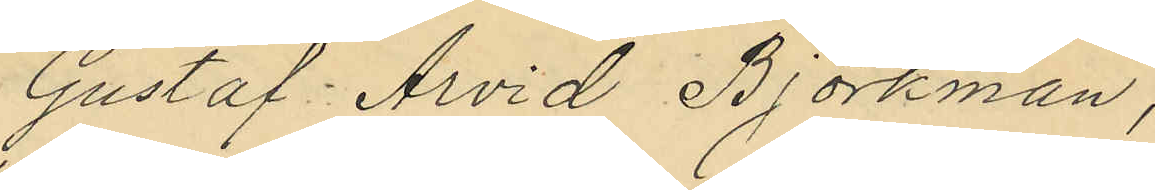Gustaf Arvid Björkman,
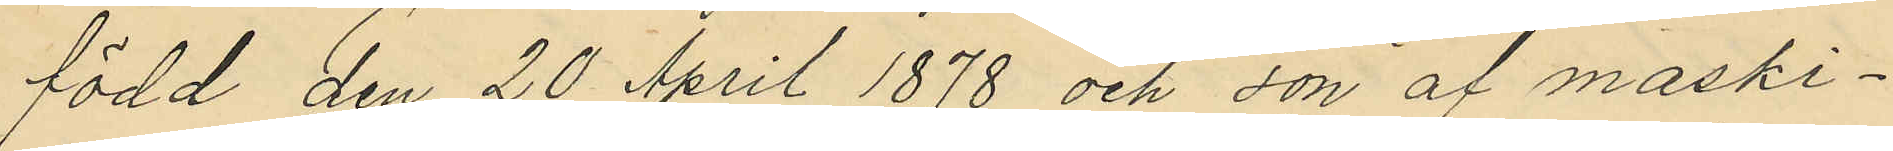född den 20 April 1878 och son af maski¬
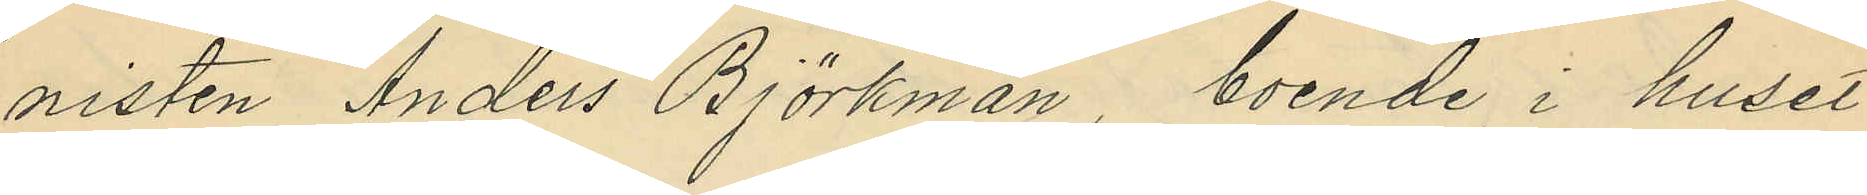nisten Anders Bjorkman, boende i huset
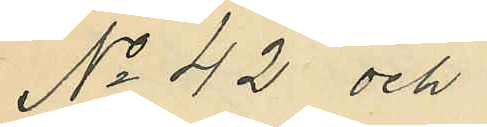No 42 och
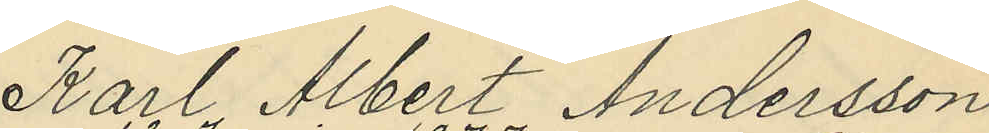Karl Albert Andersson
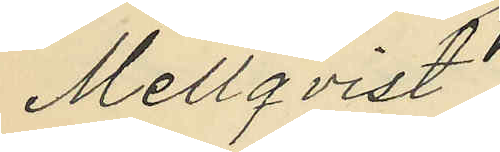Mellqvist
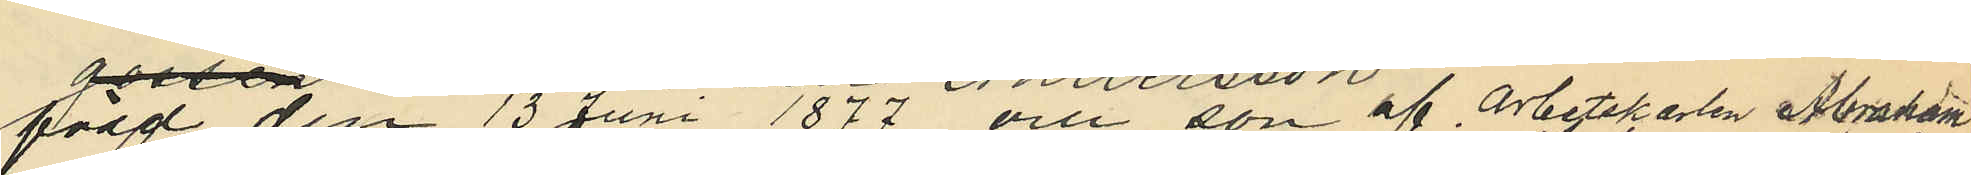född den 13 Juni 1877 och son af Arbetskarlen Abraham
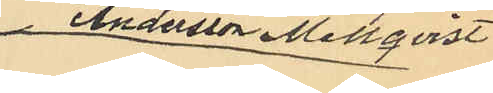 Andersson Mellqvist
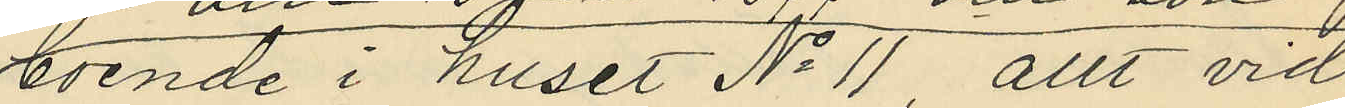boende i huset No 11 allt vid
